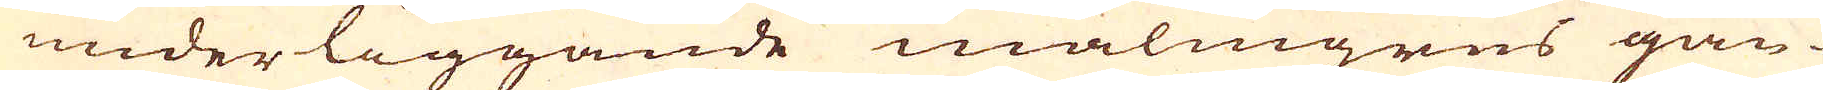underliggande malmgrus gån-
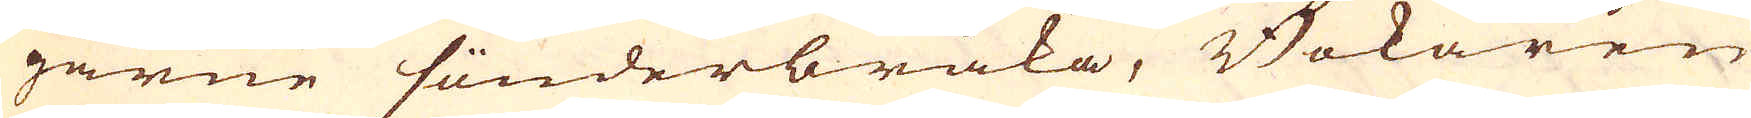garne sönderbråka, Bokaren
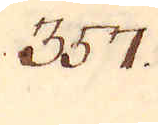357.
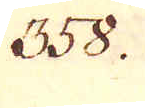358.
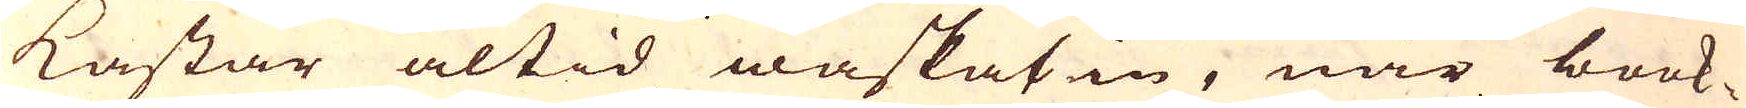kastar altid waskat in, när book-
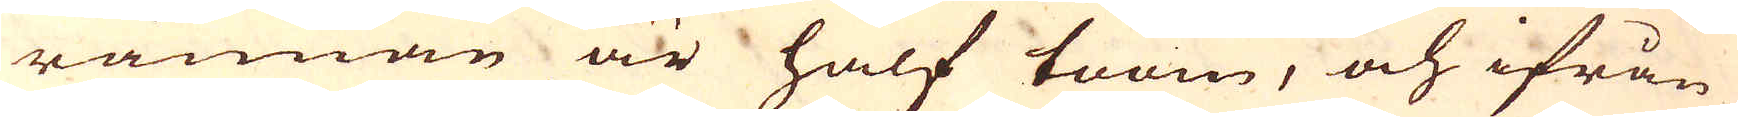rännan är half toom, och ifrån
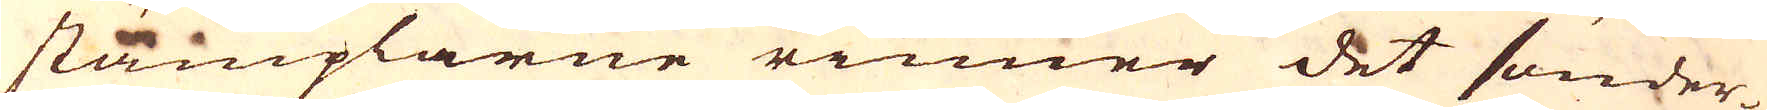stämplarne rinner det sönder-
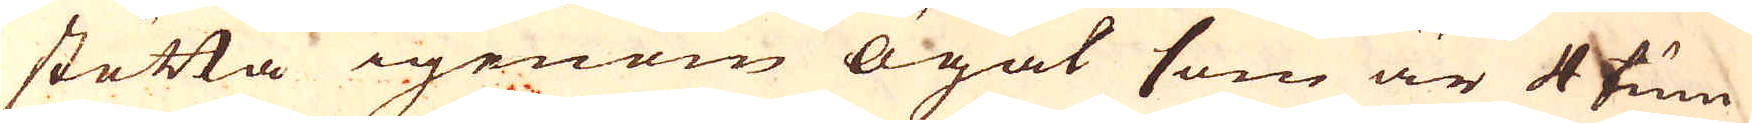stötta igenom ögat som är 4 tum
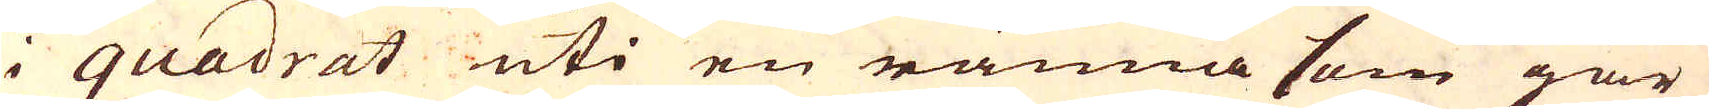i quadrat uti en ränna som går
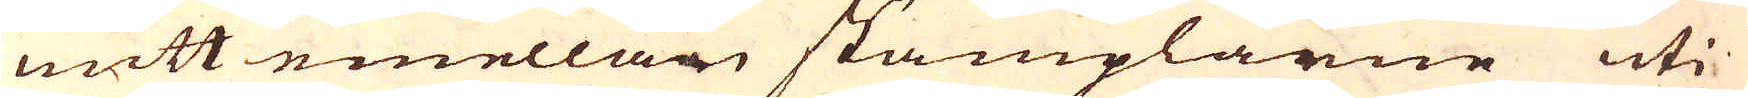mitt emellan stämplarne uti
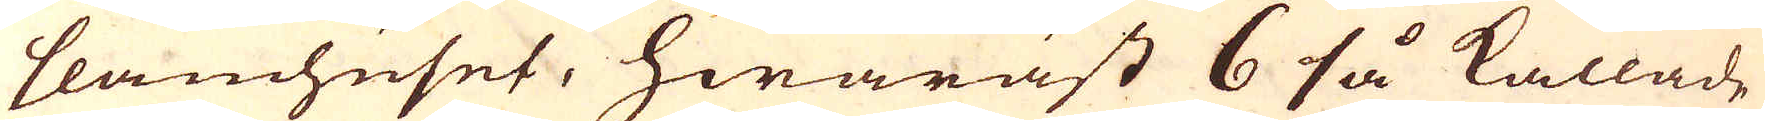slamhuset, hwaräst 6 så kallade
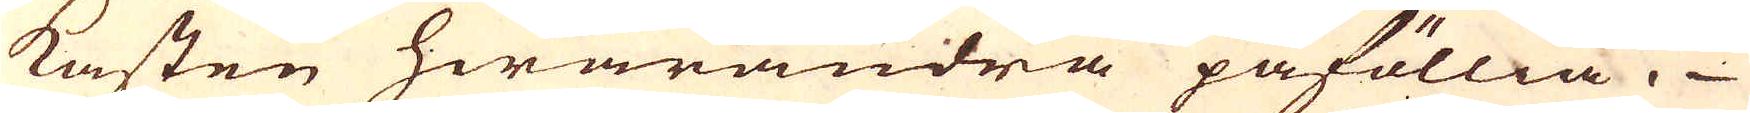Kasten hwarandra påföllia.
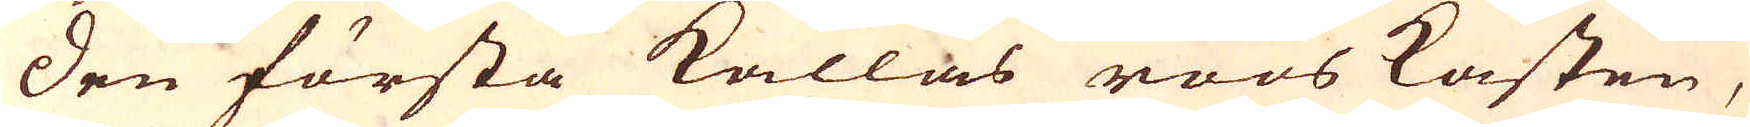Den första kallas röös kasten,
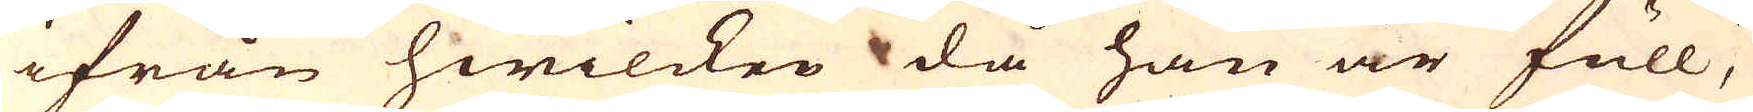ifrån hwilcken då han är full,
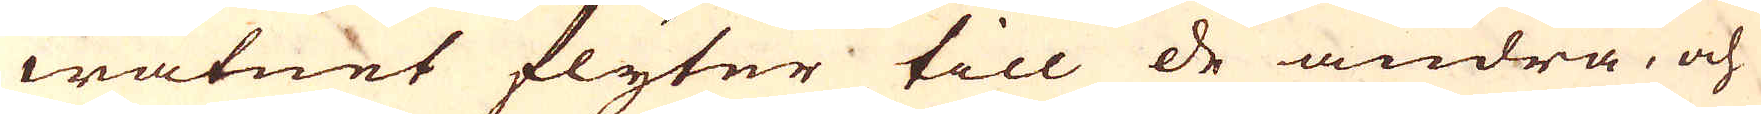watnet flyter till de andra, och
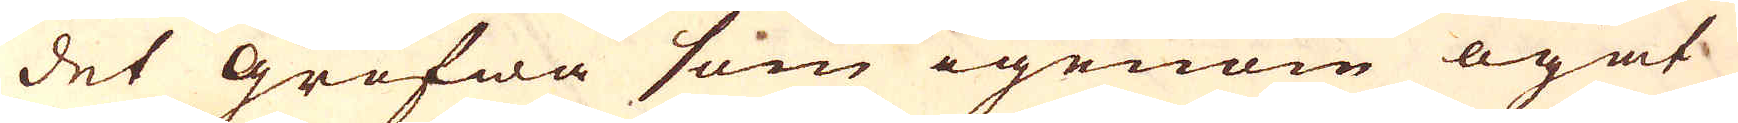det grofwa som igenom ögat
